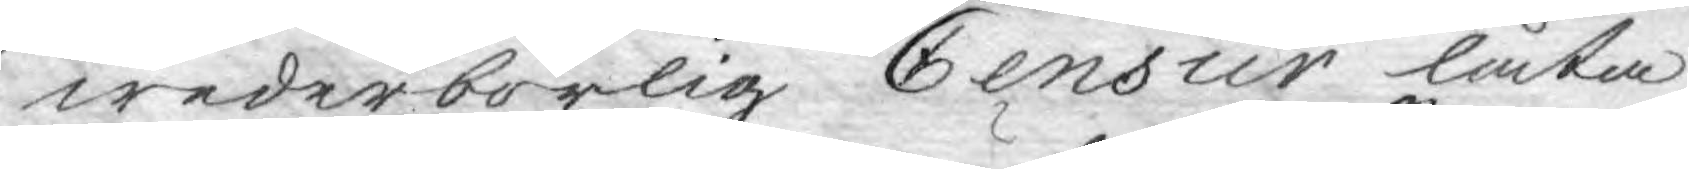wederbörlig Censur låta
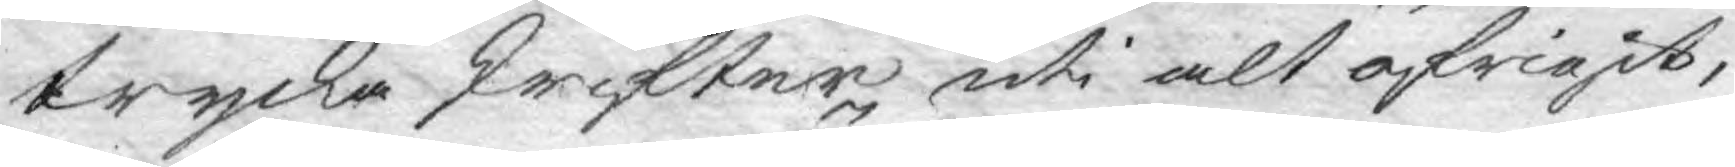trycka skrifter, uti alt öfrigit,
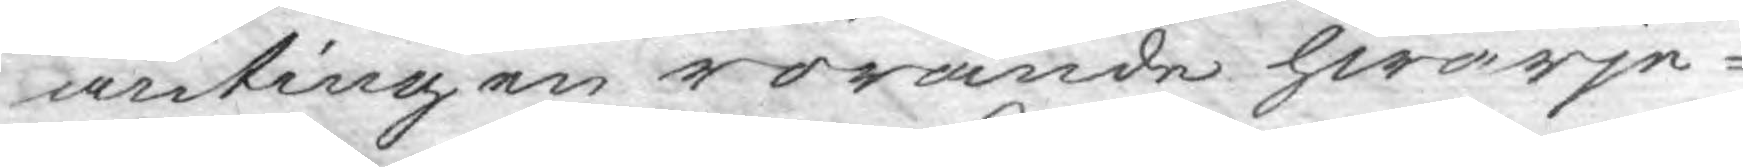antingen rörande hwarje¬
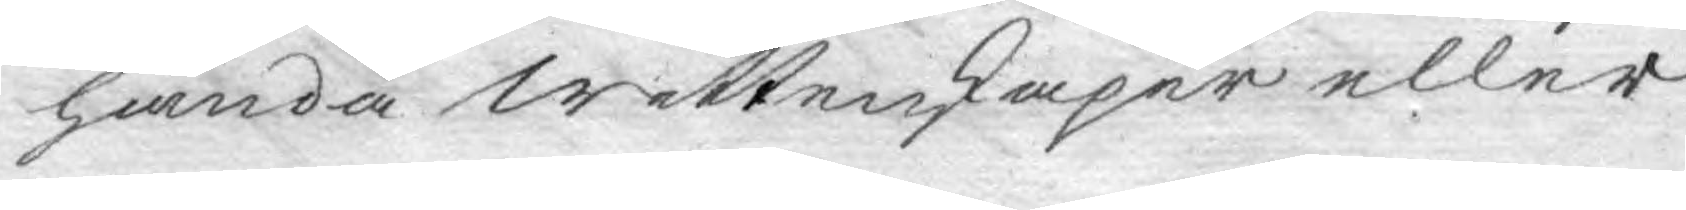handa Wettensaper eller
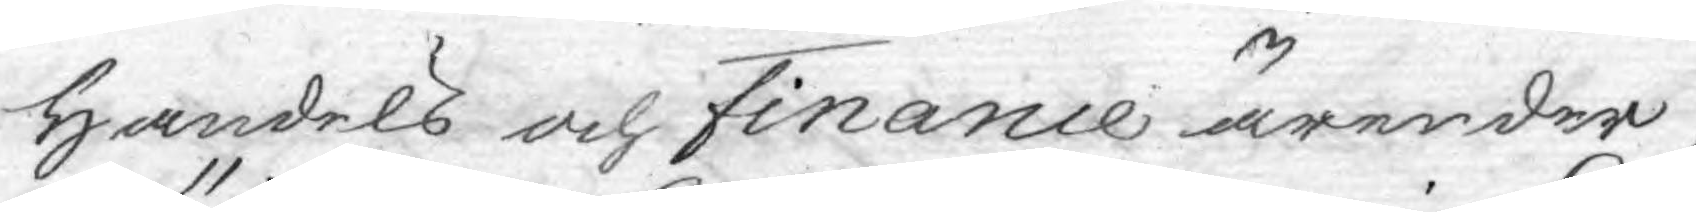Handels och Finance ärender,
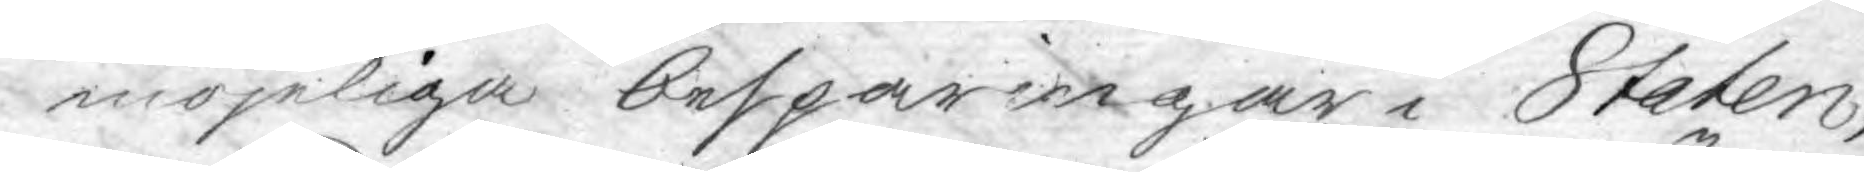möjeliga besparingar i Staten,
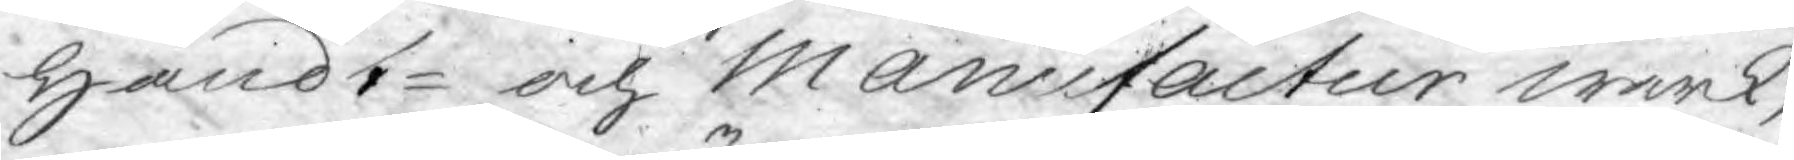handt- och Manufactur wärk,
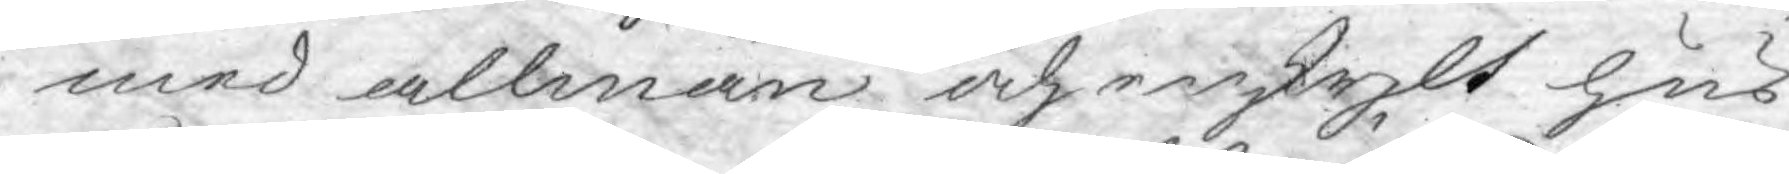med allmän och enskylt hus
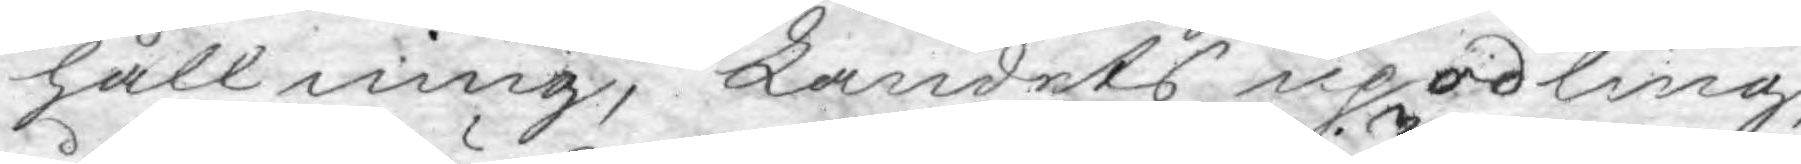hållning, Landets upodling,
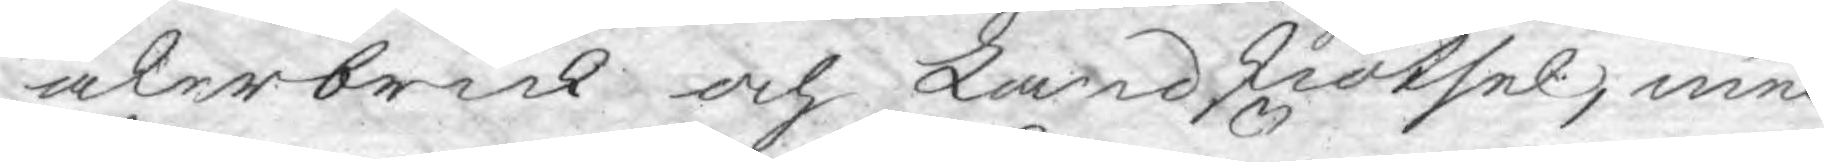åkerbruk och Landskiötsel, med
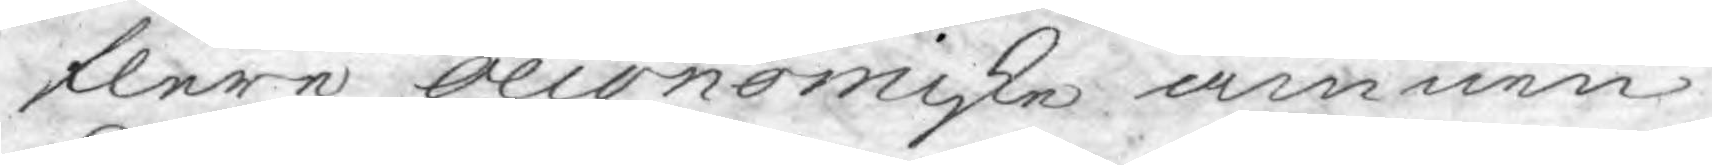flere Oeconomiska ämnen.
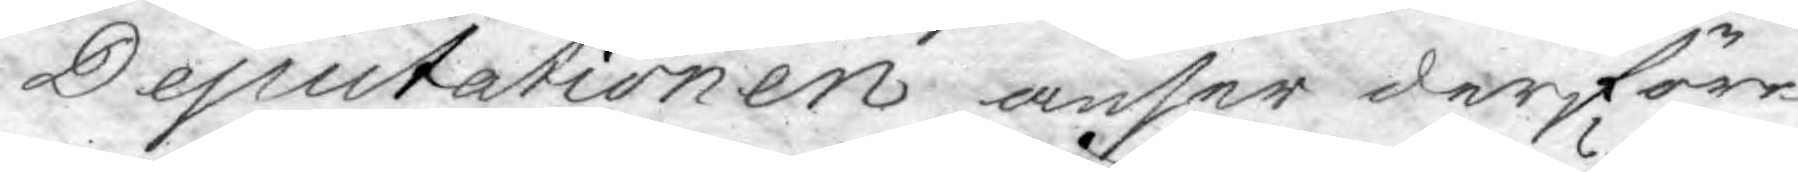Deputationen anser derföre
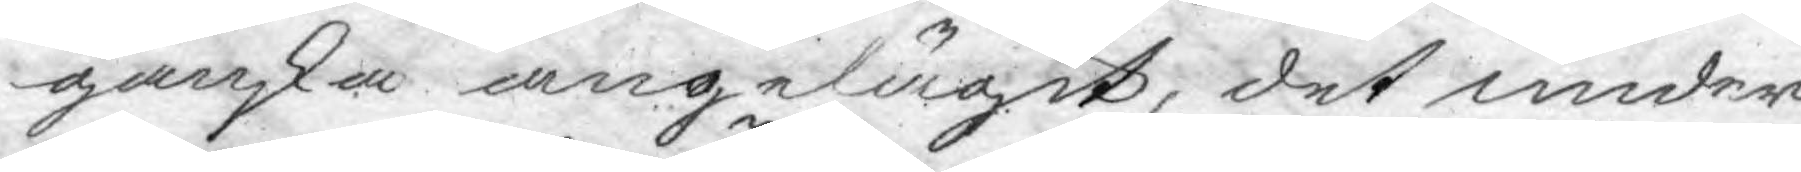ganska angelägit, det under
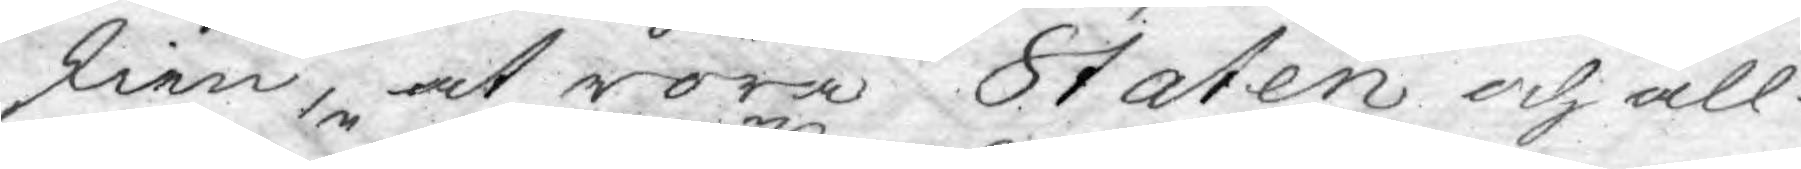skien, at röra Staten och all¬
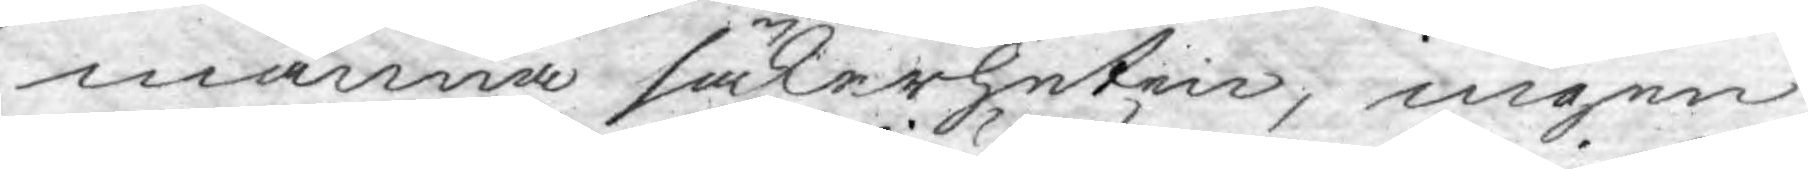männa säkerheten, ingen
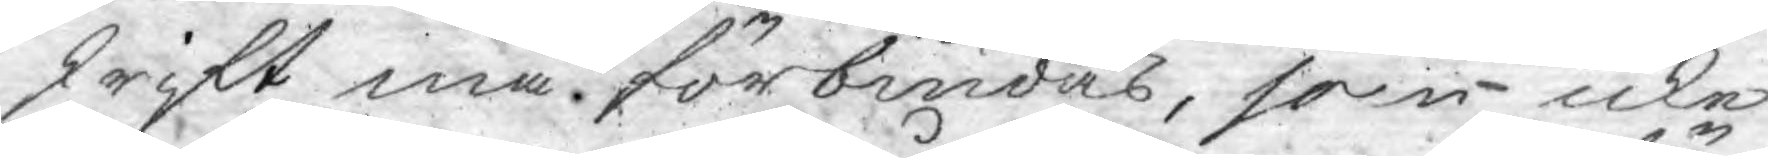skrift må förbiudas, som icke
